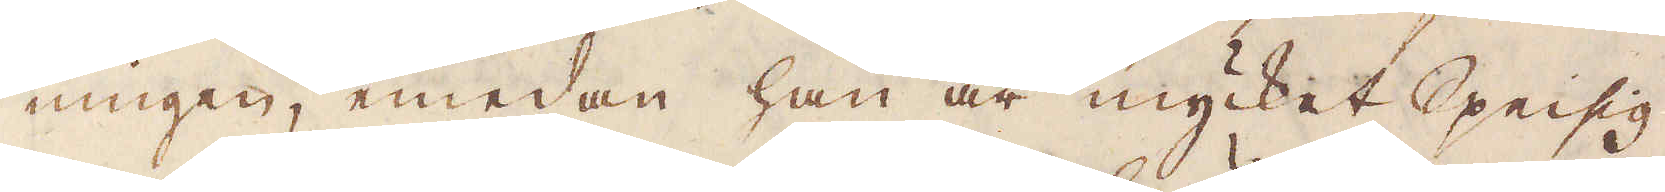ningen, emedan han är mycket Speisig
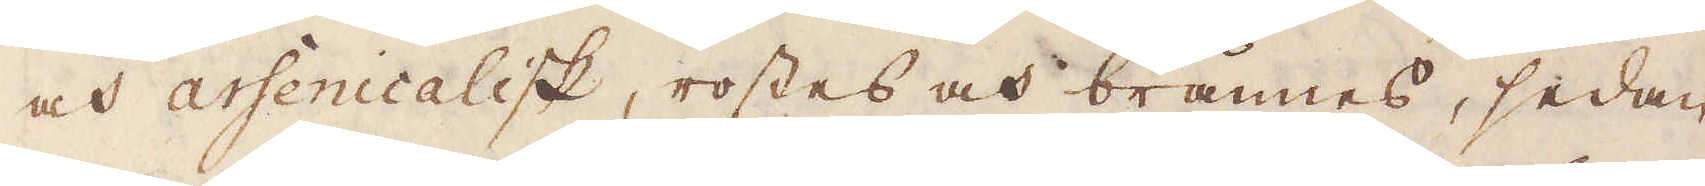och arsenicalisk, rostes och brännes, sedan
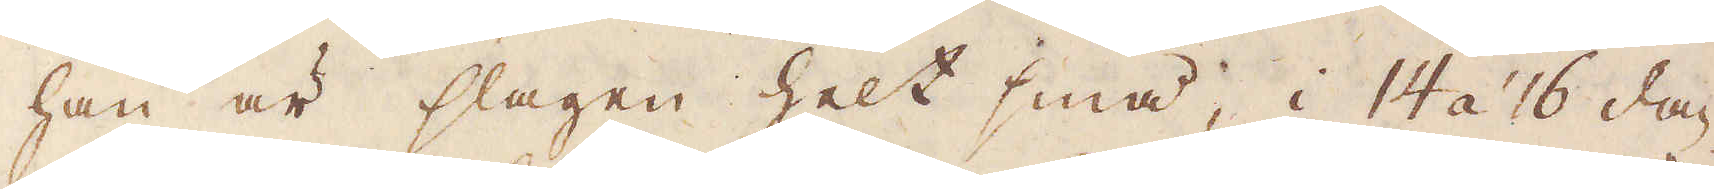han är slagen helt små, i 14 á 16 dag-
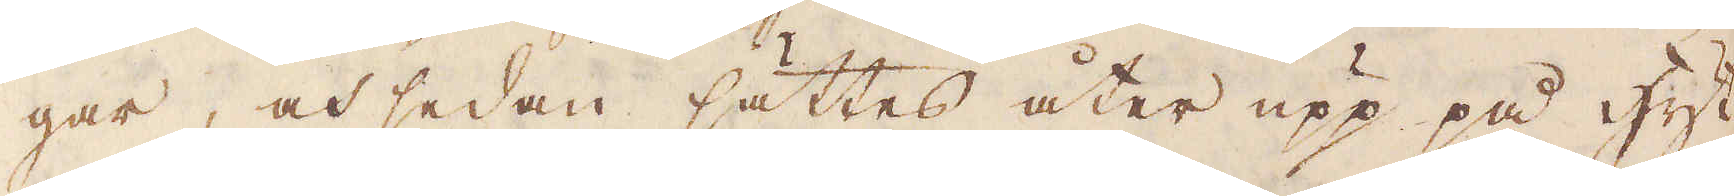gar, och sedan sättes åter upp på Hyt-
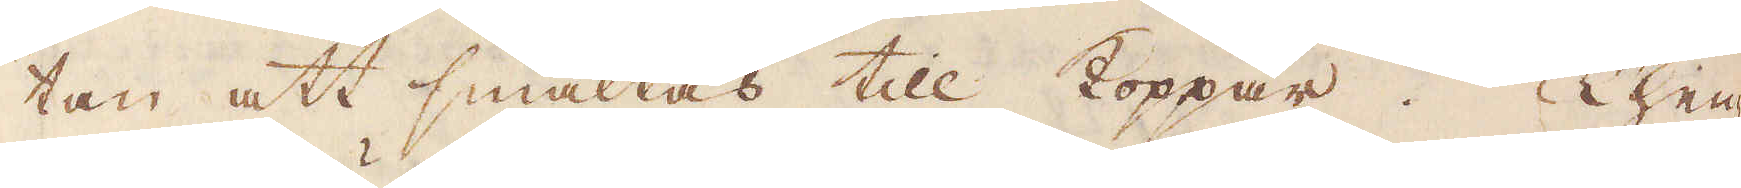tan att smältas till Koppar. Then-
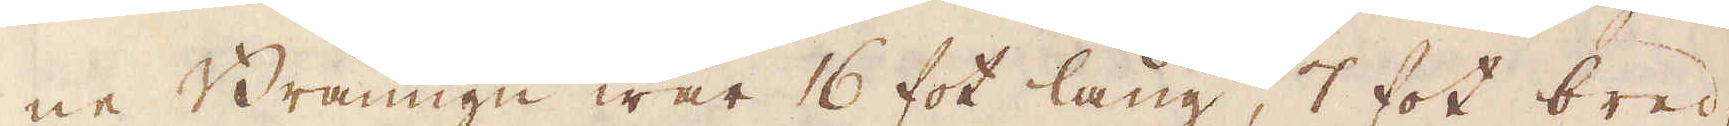ne Bränugn war 16 fot lång, 7 fot bred
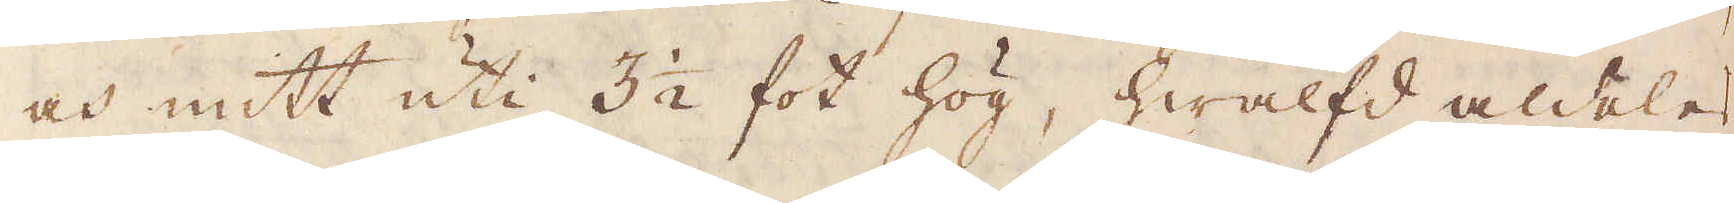och mitt uti 3 1/2 fot hög, hwälfd aldeles
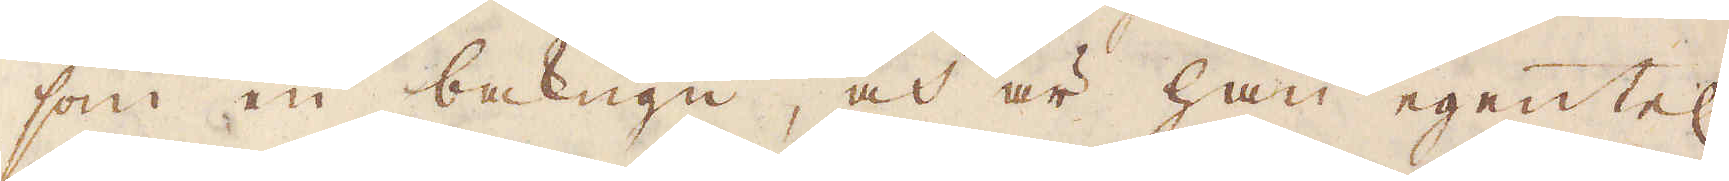som en bakugn, och är han egentel:n
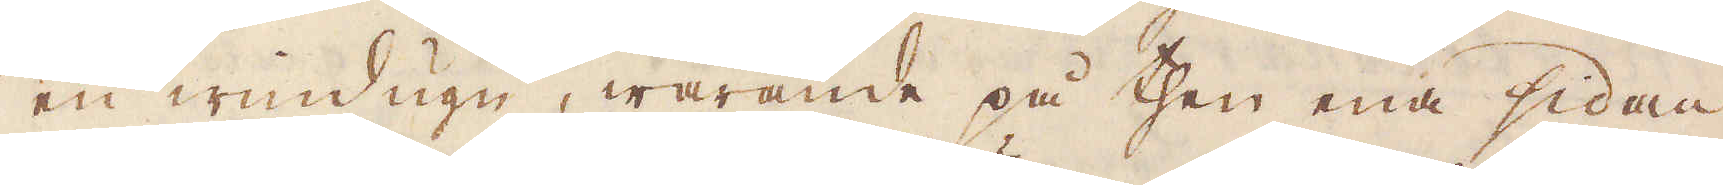en windugn, warande på then ena sidan
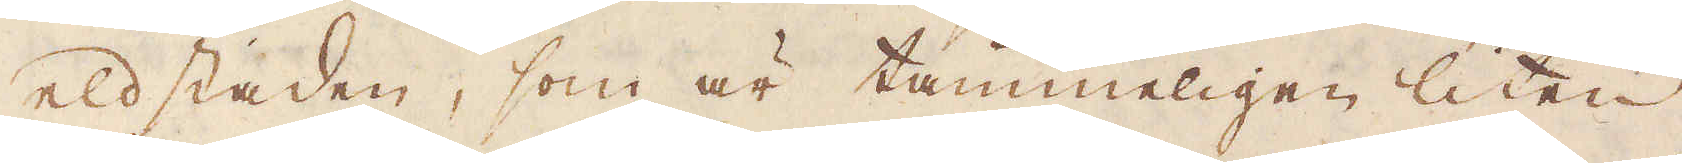eldstaden, som är tämmeligen liten
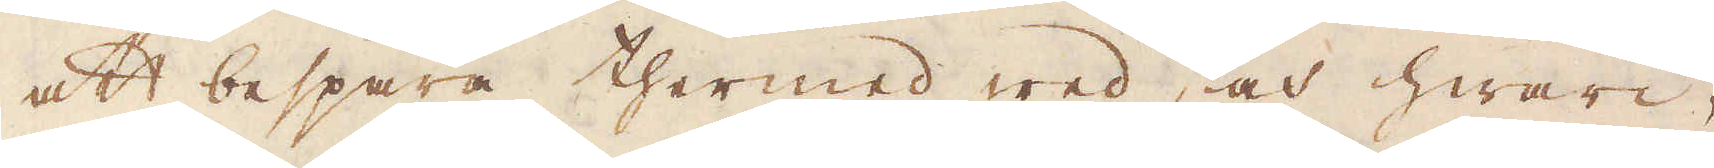att bespara thermed wed, och hwari-
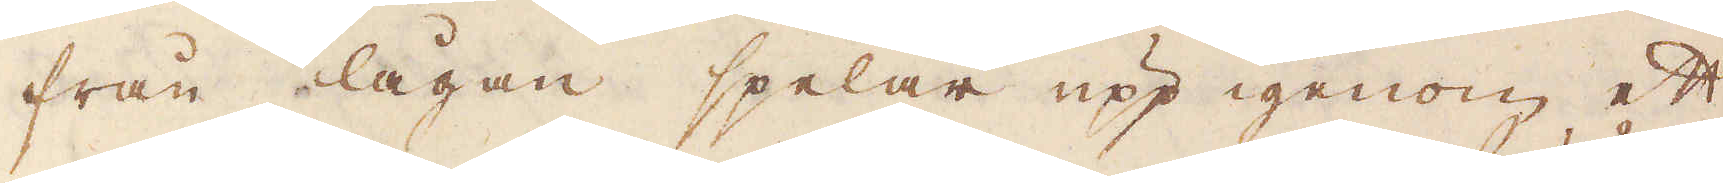från lågan spelar upp igenom ett
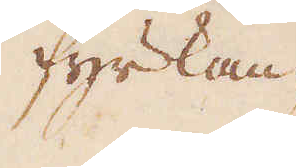fyrkan-
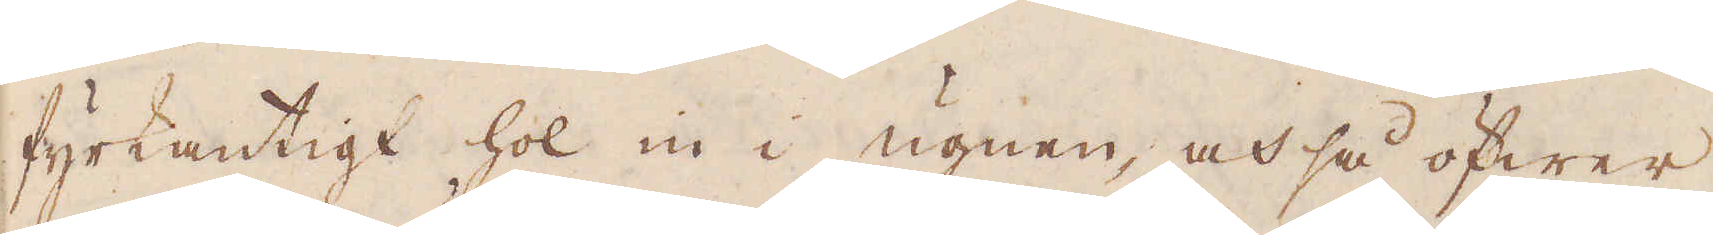fyrkantigt hol in i ugnen, och så öfwer
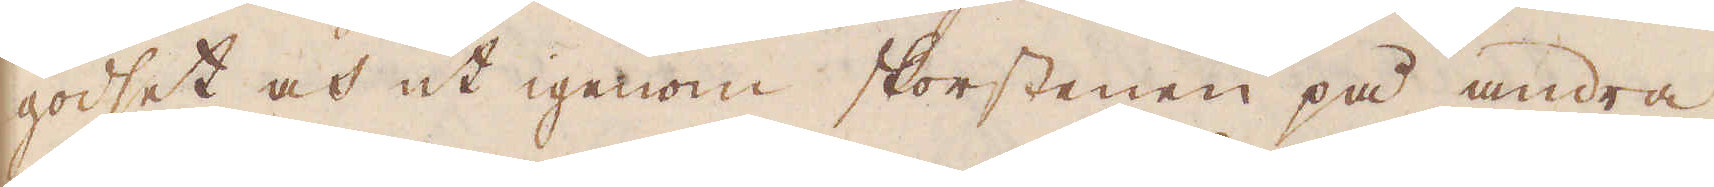godset och ut igenom skorstenen på andra
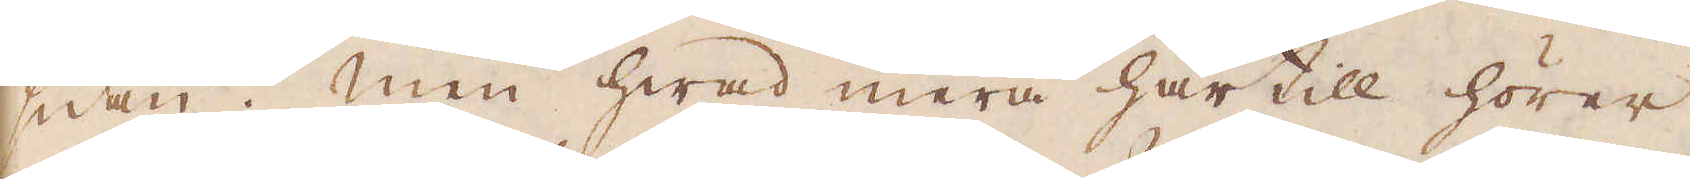sidan. Men hwad mera härtill hörer
